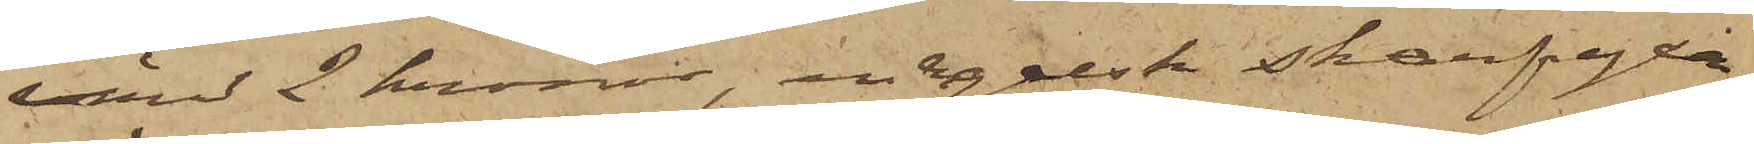värd 2 kronor, en engelsk skarpyxa
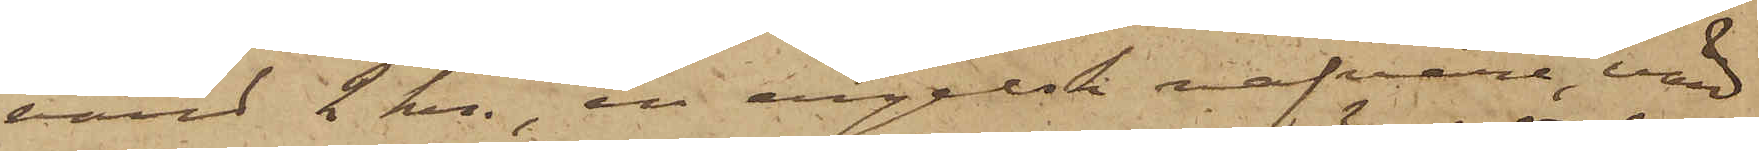värd 2 kr., en engelsk nafvare, värd
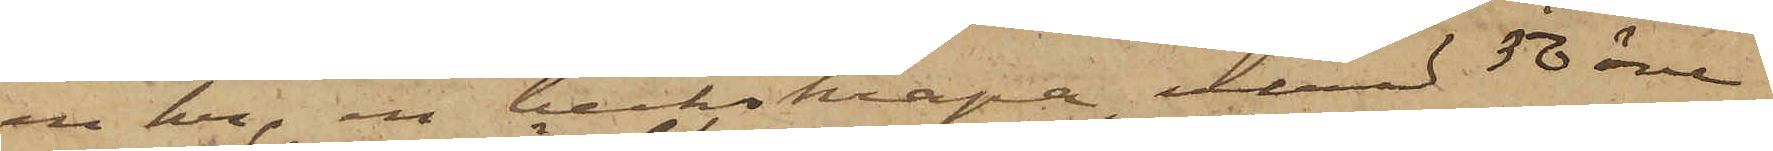en kr, en beckskrapa, värd 50 öre
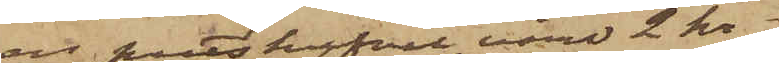en putshyfvel, värd 2 kr
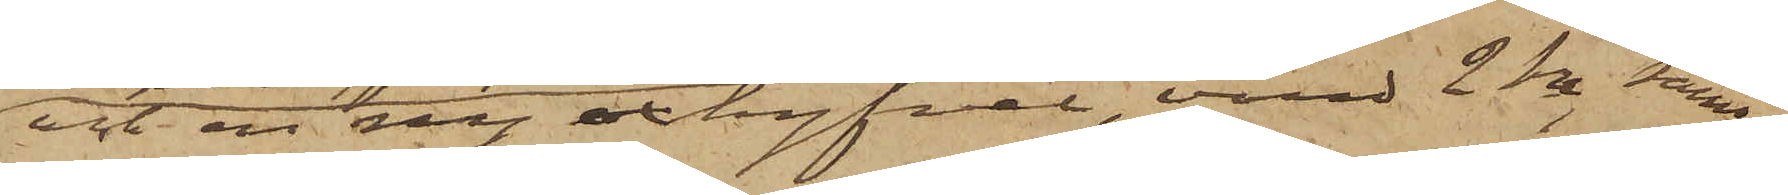och en ny oxhyfvel, värd 2 kr, samt
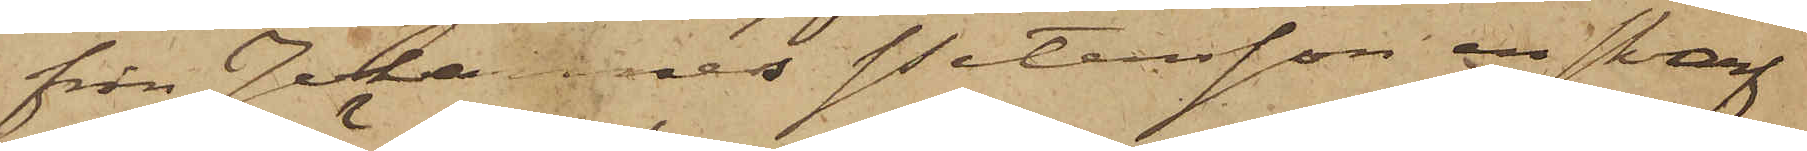från Johannes Petersson en skarf¬
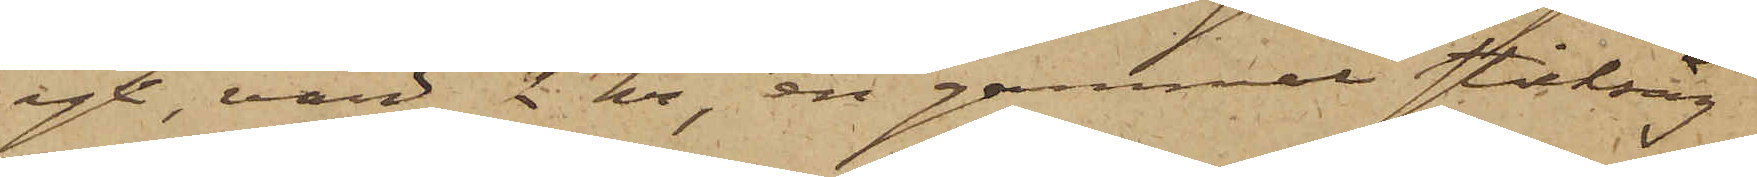yx, värd 2 kr, en gammal sticksåg
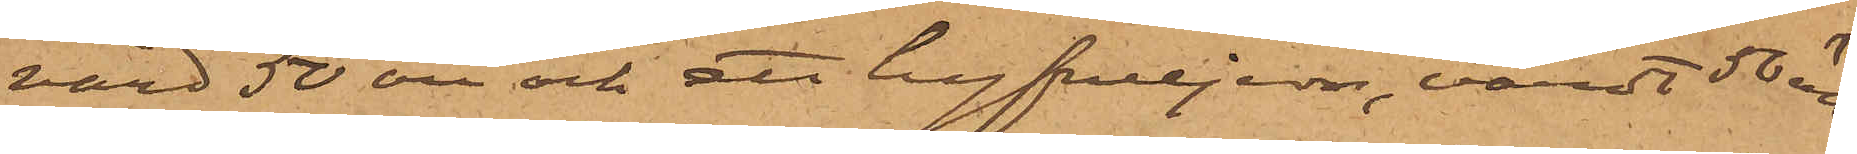värd 50 öre och ett hyfveljern, värdt 50 öre.
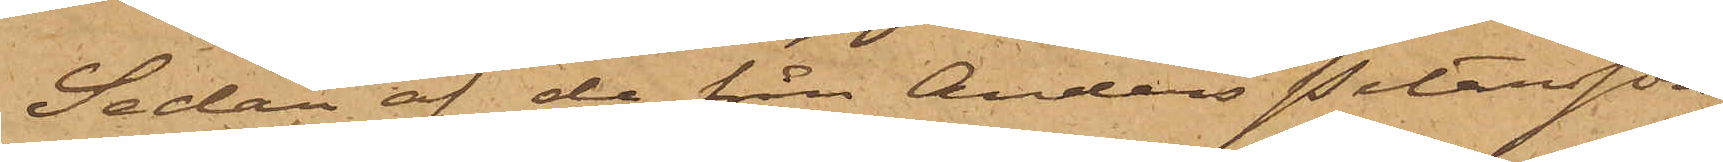Sedan af de från Anders Petersson
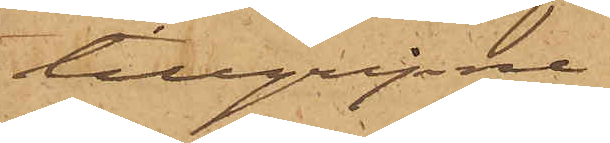tillgripne
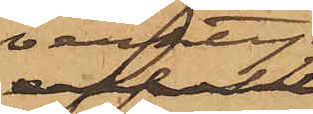verktyg
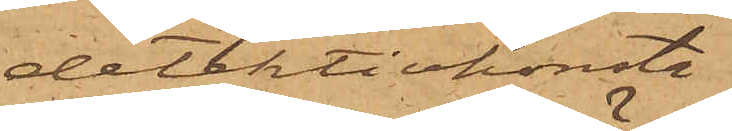detektivkonsta¬
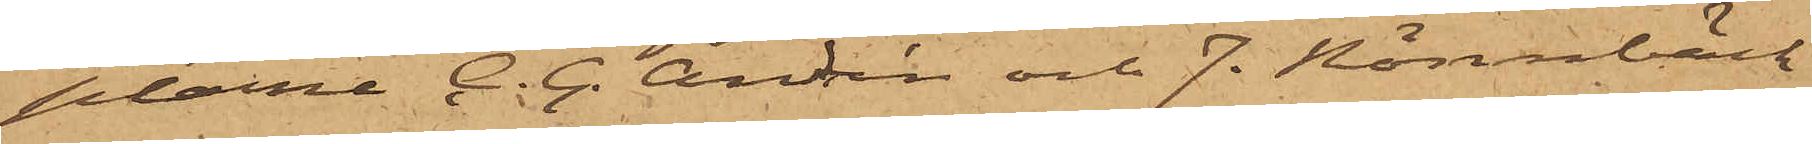plarne C. G. Andrén och J. Rönnbäck
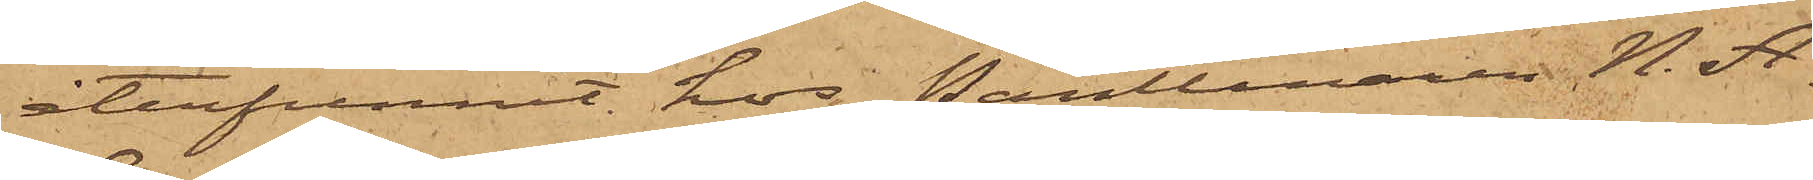återfunnit hos Pantlånaren N. A.
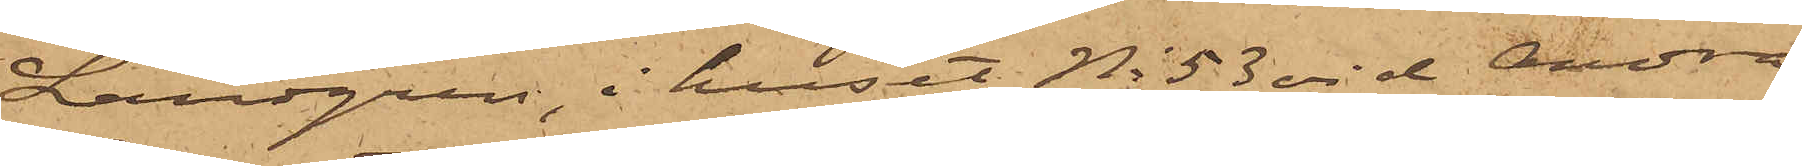Landgren, i huset No 53 vid Andra
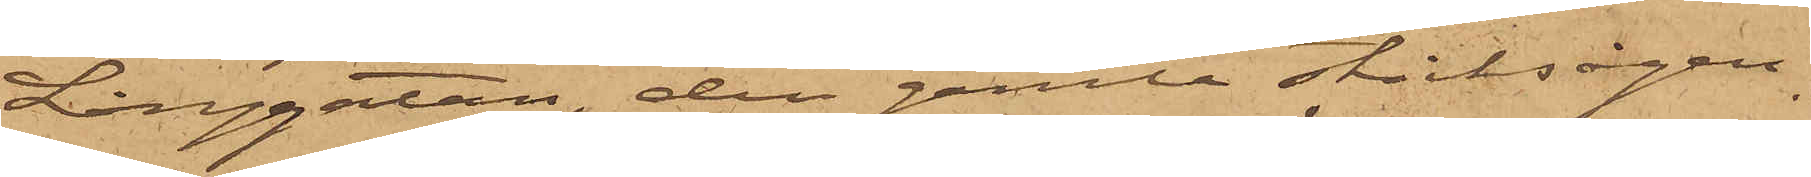Långgatan, den gamla sticksågen
